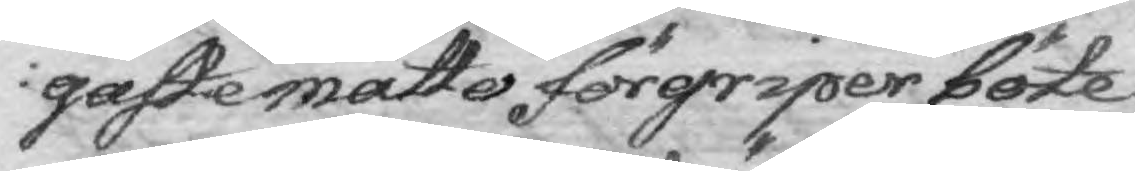aste måtto förgriper böte
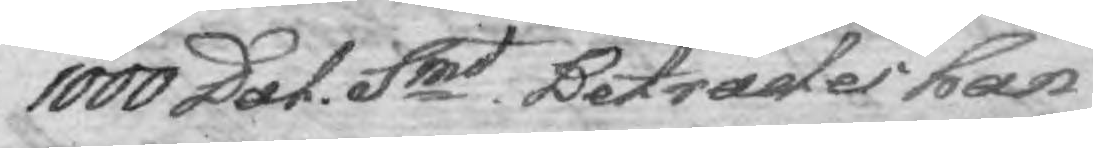1000 Dal. Smt Beträder han
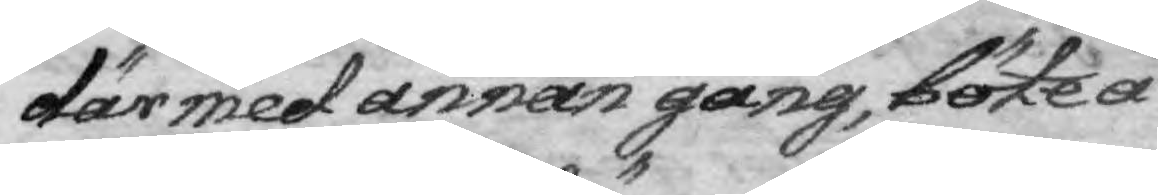därmed annan gång, böte å
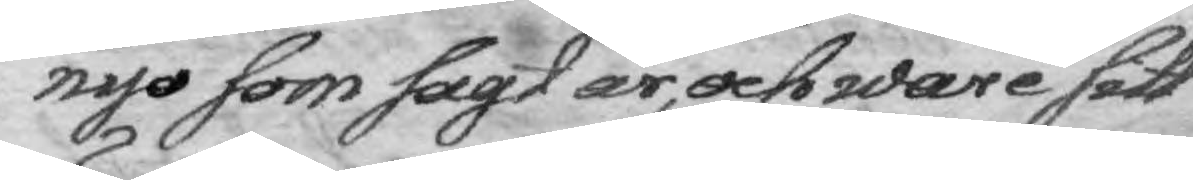nyo som sagt är, och ware sitt
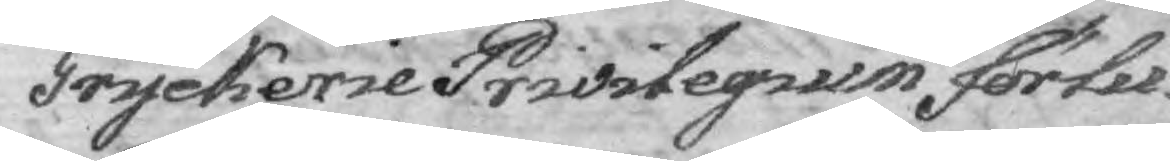Tryckerie Privilegium förlu¬
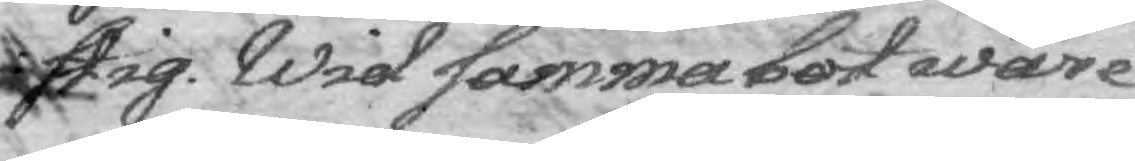stig. Wid samma bot ware
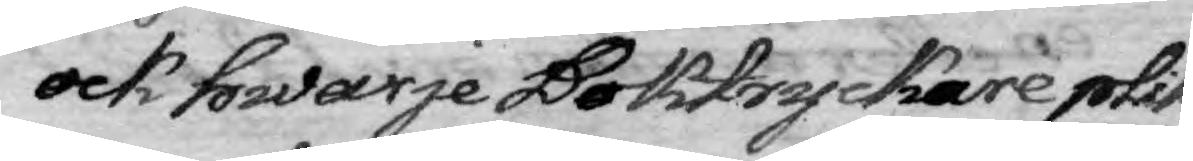ock hwarje Boktryckare plik¬
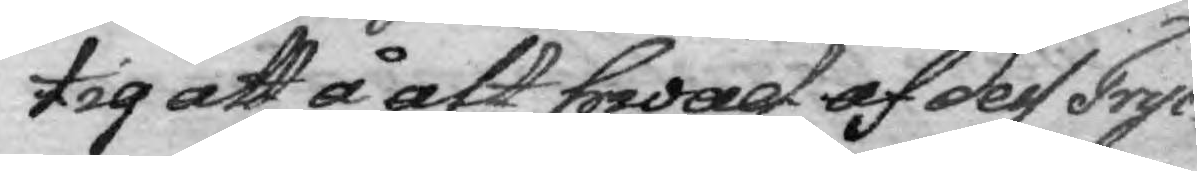tig att å alt hwad af dess Tryc¬
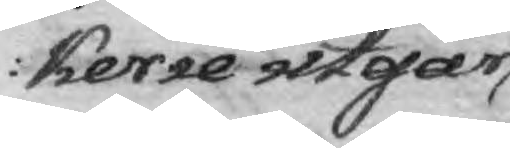kerie utgår
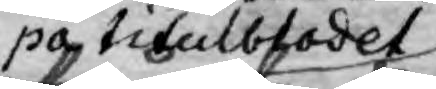på titulbladet
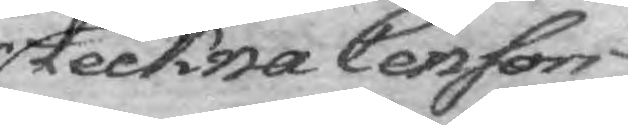teckna Censors
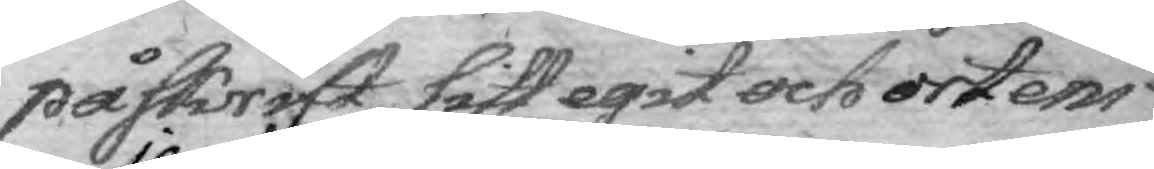påskrift sitt egit och ortens
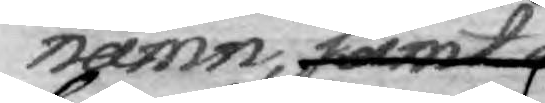namn, samt det
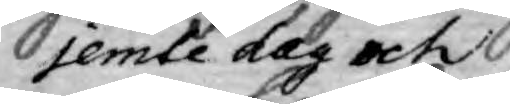jemte dag och
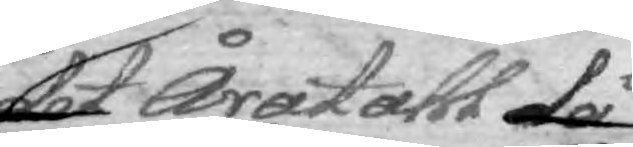Åratahl då
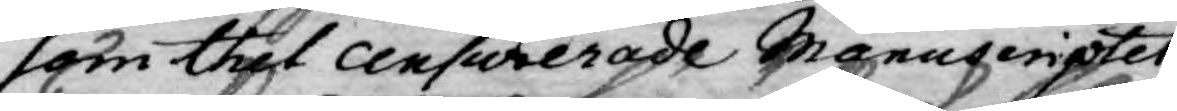som thet censurerade Manuscriptet
